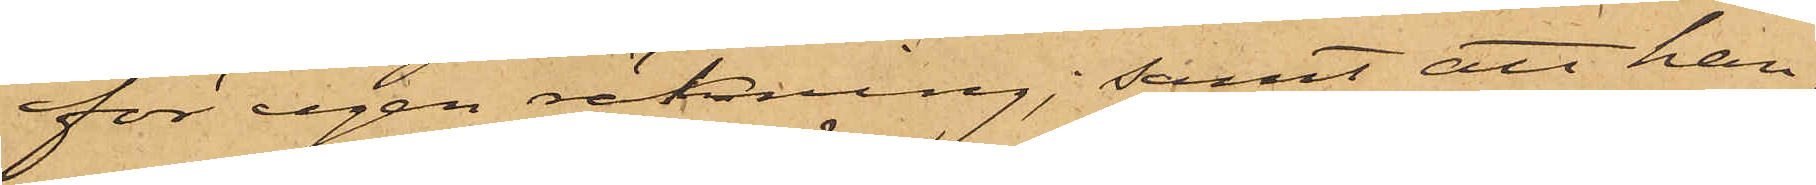för egen räkning; samt att han,
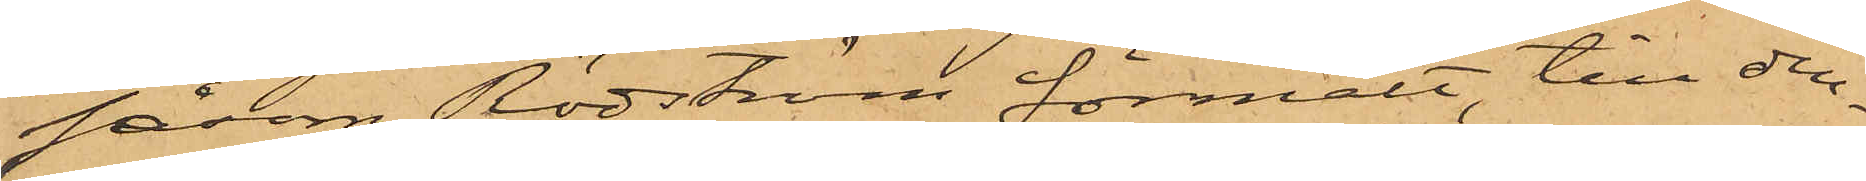såsom Rödström förmält, till den¬
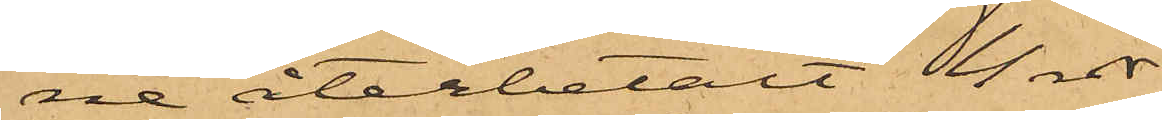ne återbetalt 4 rdr.
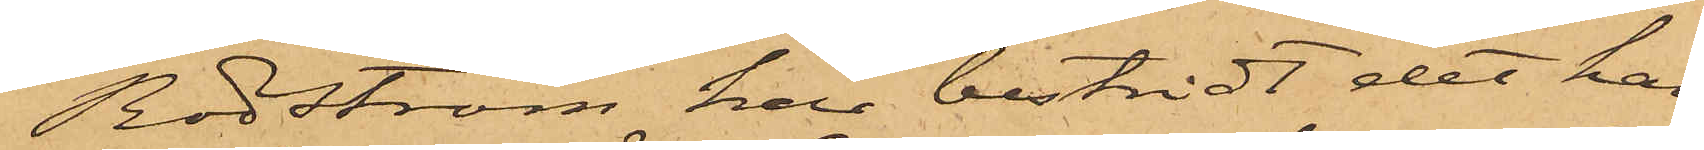Rödström har bestridt det han
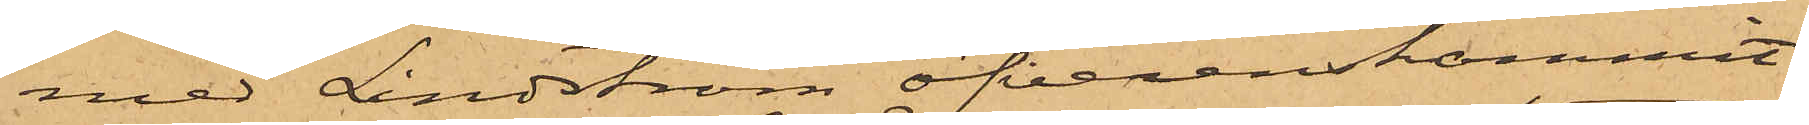med Lindström öfverenskommit
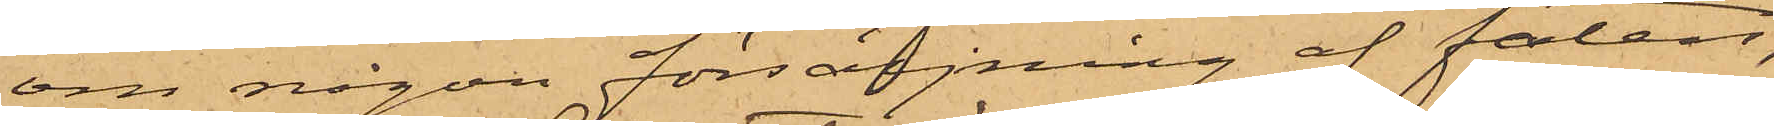om någon försäljning af faten,
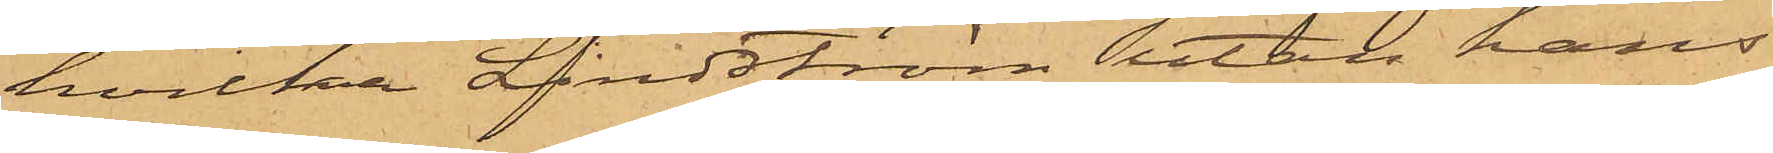hvilka Lindström utan hans
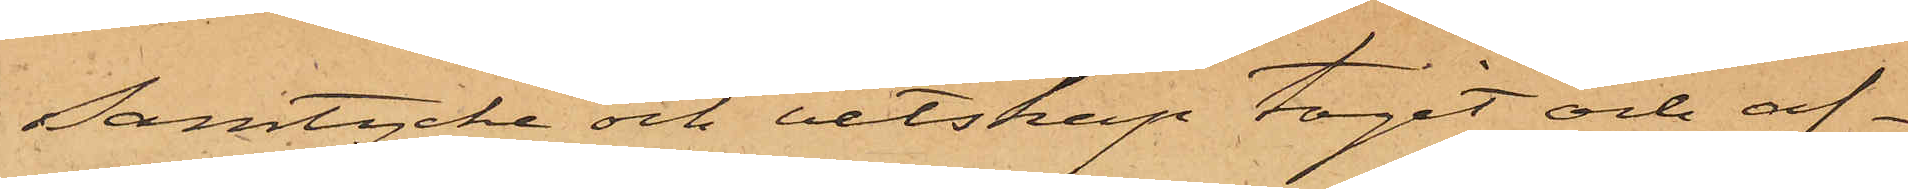samtycke och vetskap tagit och af¬
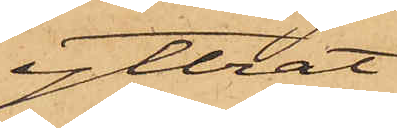yttrat.
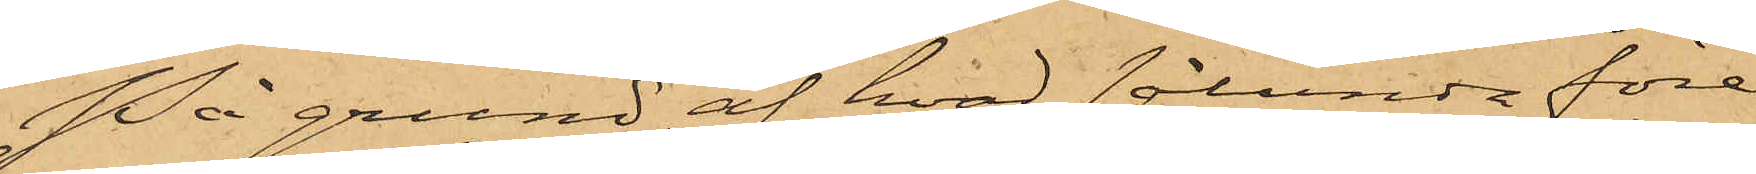På grund af hvad sålunda före¬
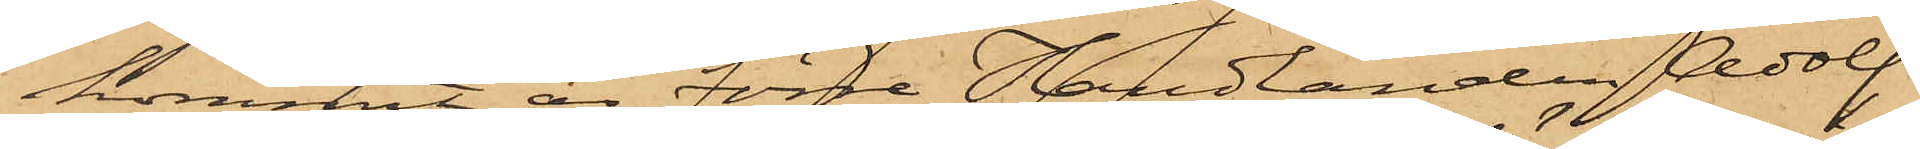kommit, är förre Handlanden Adolf
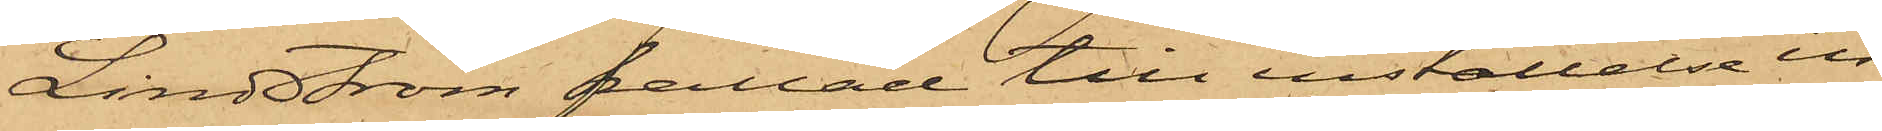Lindström kallad till inställelse in¬
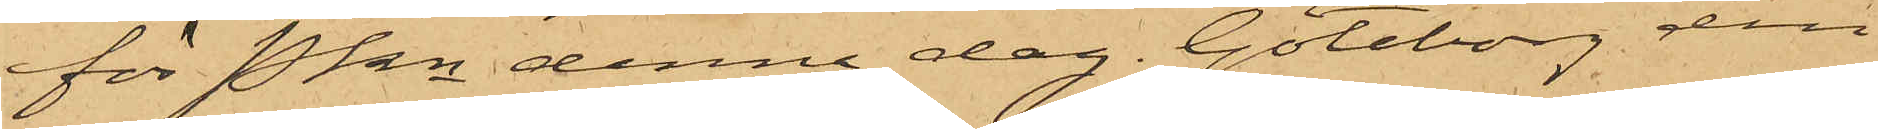för Pkn denna dag. Göteborg den
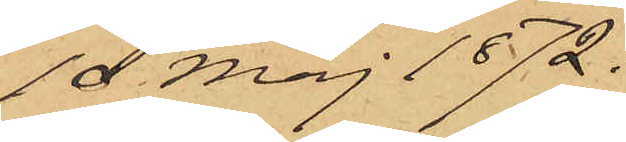10 Maj 1872.
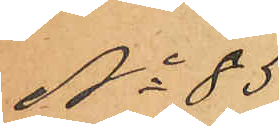No 85
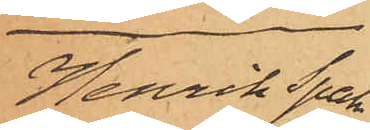Henrik Spak
